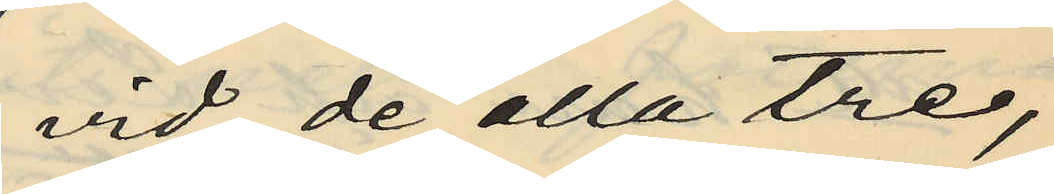vid de alla tre,
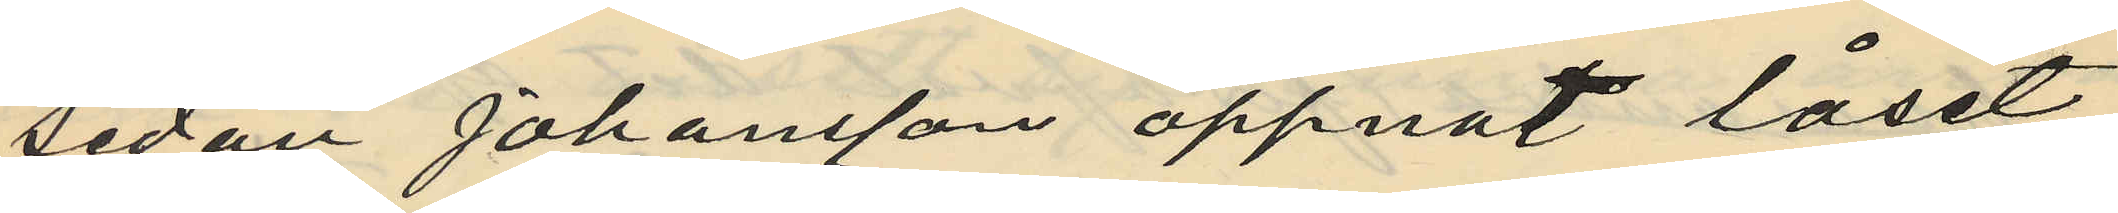sedan Johansson öppnat låset
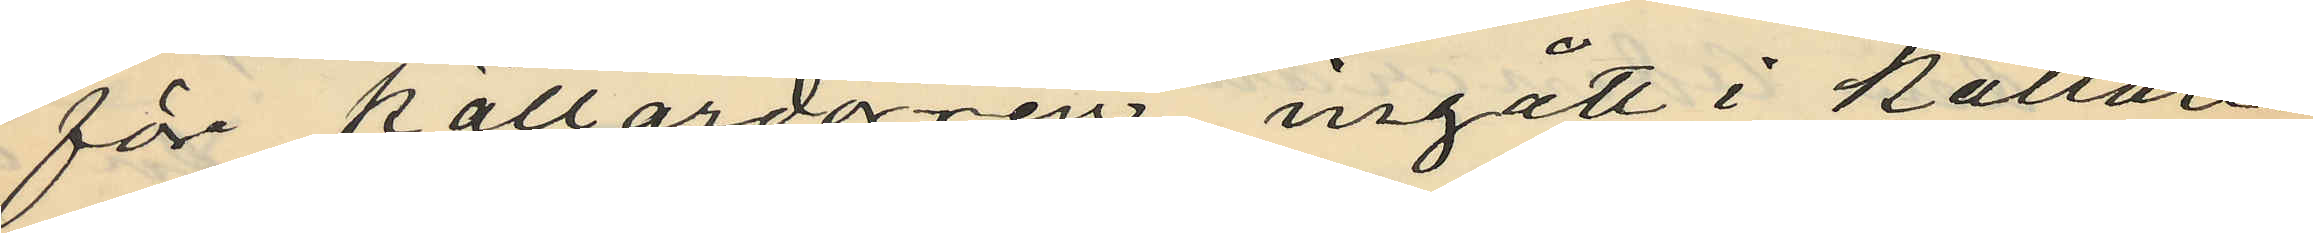före källardörren ingått i källaren
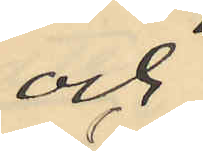och
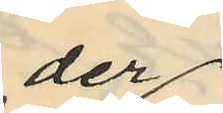der
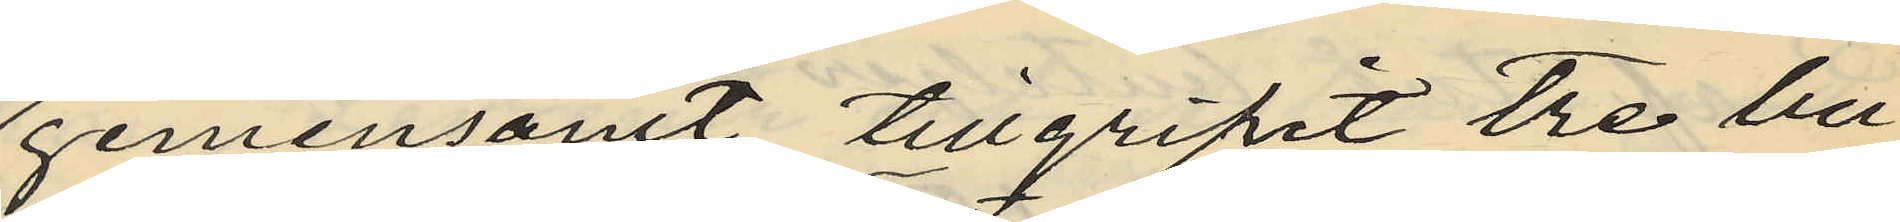gemensamt tillgripit tre bu¬
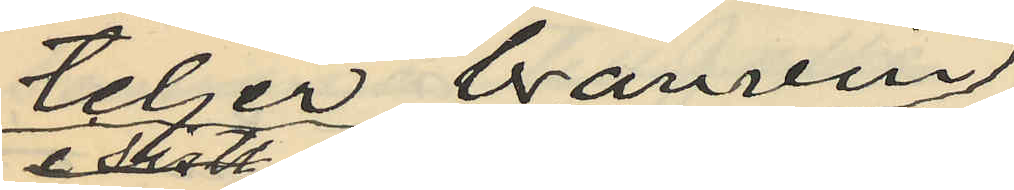teljer bränvin.
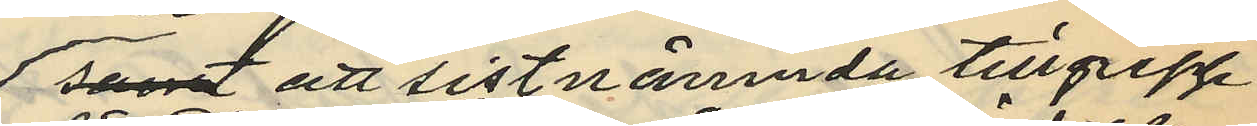samt att sistnämnda tillgrepp
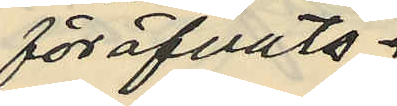föröfvats.
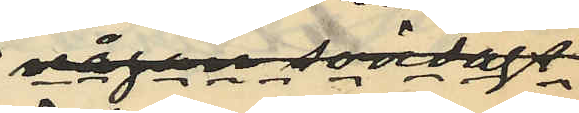någon söndags
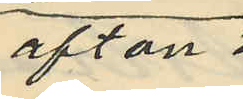afton
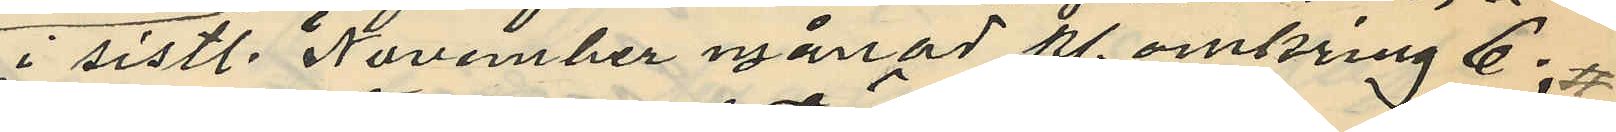i sistl. November månad kl. omkring 6:
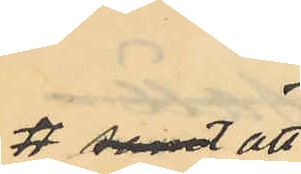# samt att
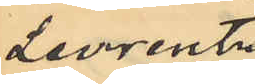Levrentz
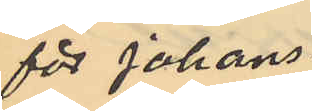för Johans¬
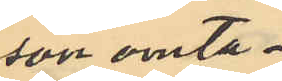son omta¬
